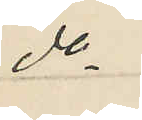do
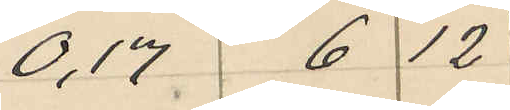0,17 6 12
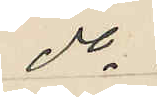do
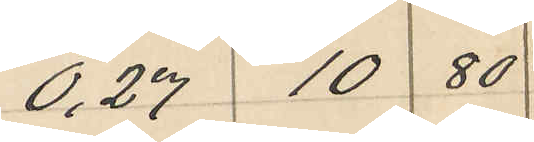0,27 10 80
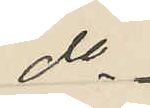do
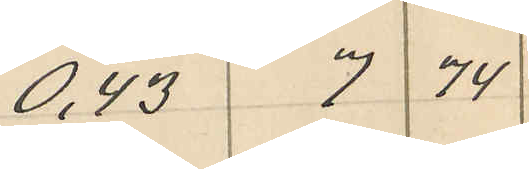0,43 7 74
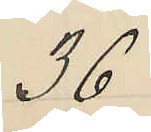36
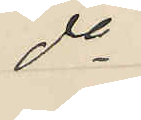do
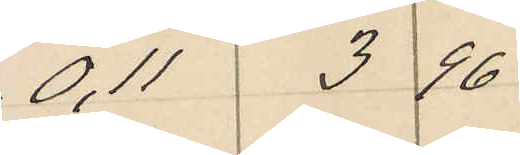0,11 3 96
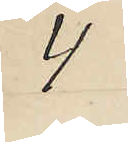4
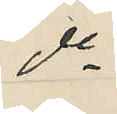do
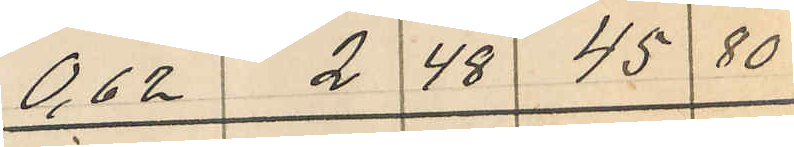0,62 2 48 45 80
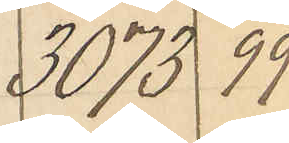3073 99
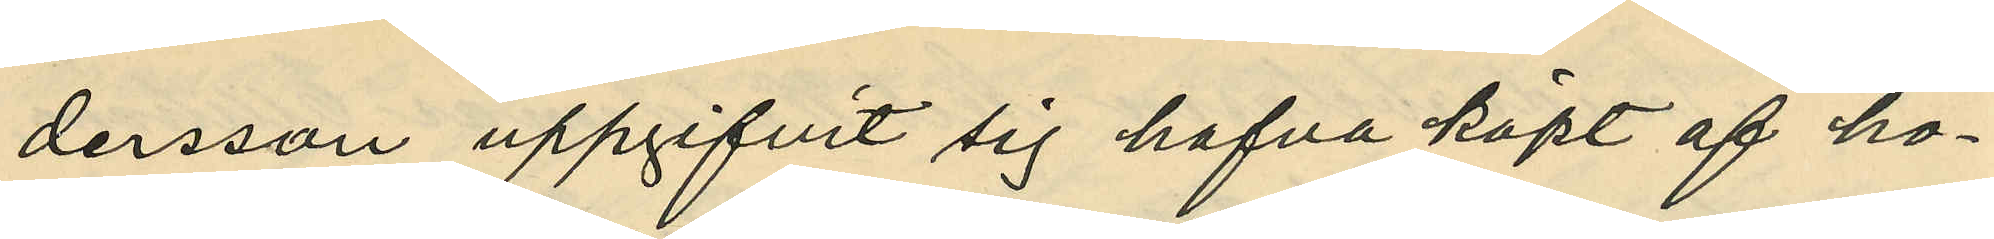dersson uppgifvit sig hafva köpt af ho¬
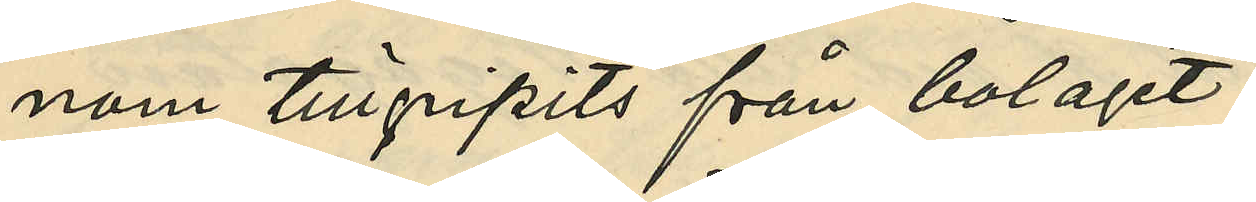nom tillgripits från bolaget;
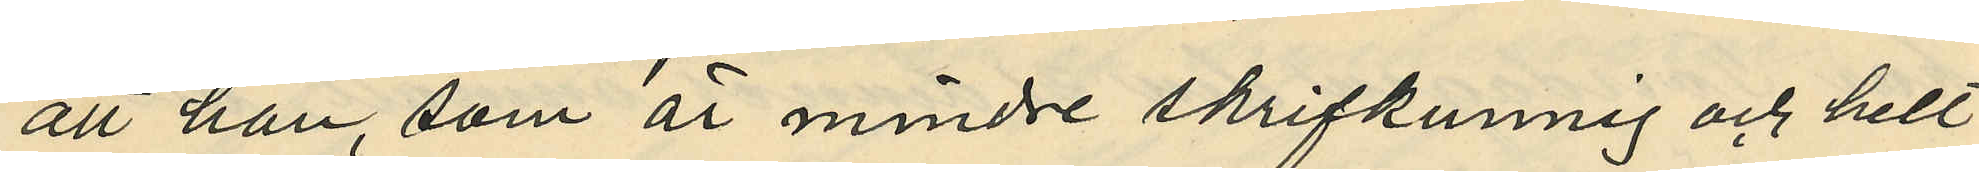att han, som är mindre skrifkunnig och helt
